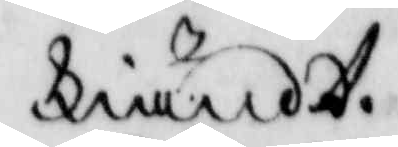kiändt.
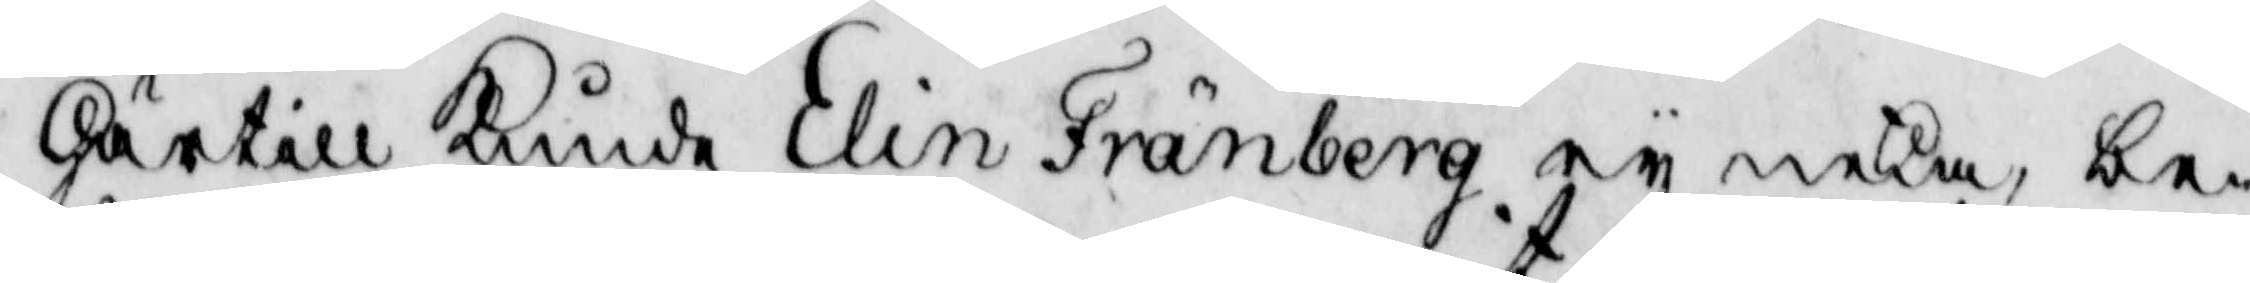Härtill kunde Elin Fränberg ey neka, be¬
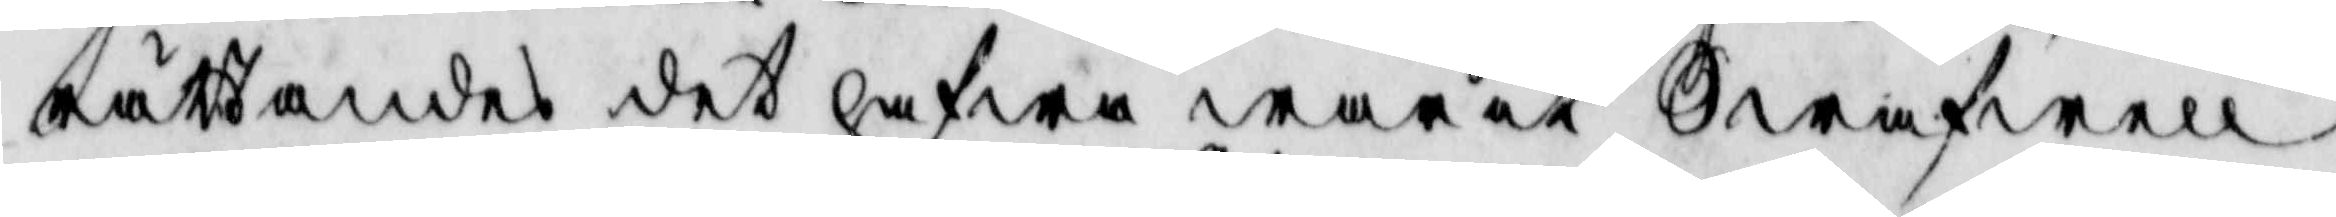rättandes det hafwa warit Swafwel
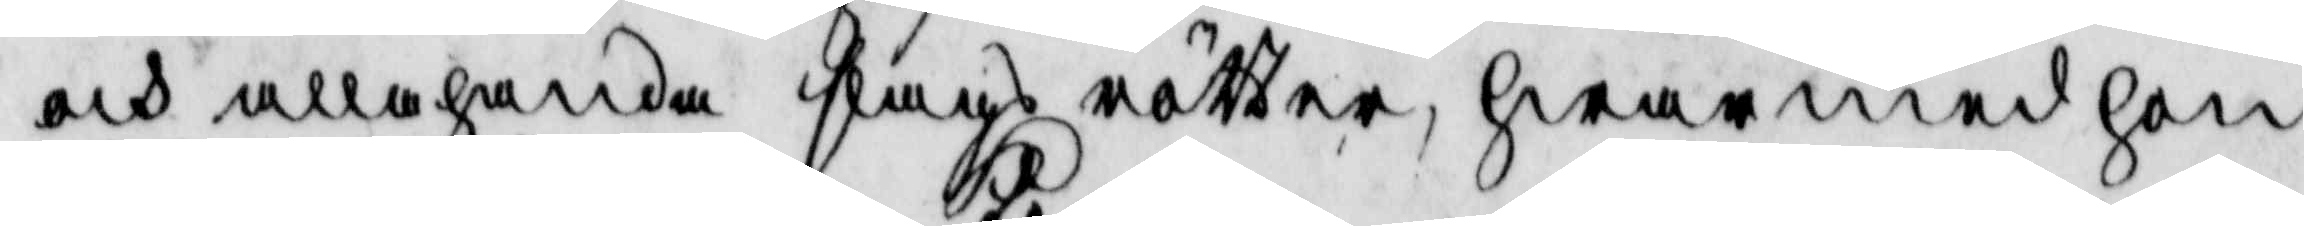och allahanda slags rätter, hwarmed hon
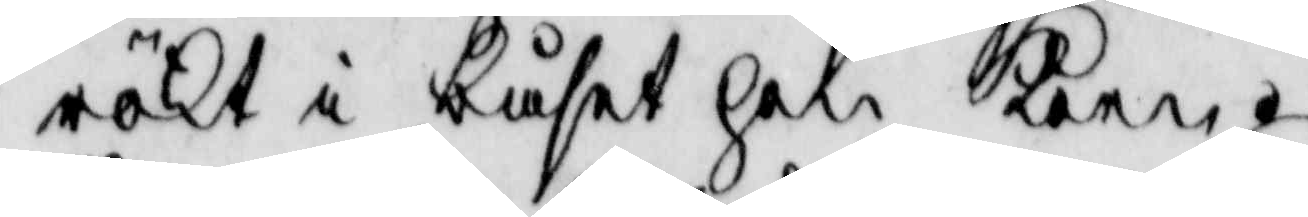rökt i båset hon koen.
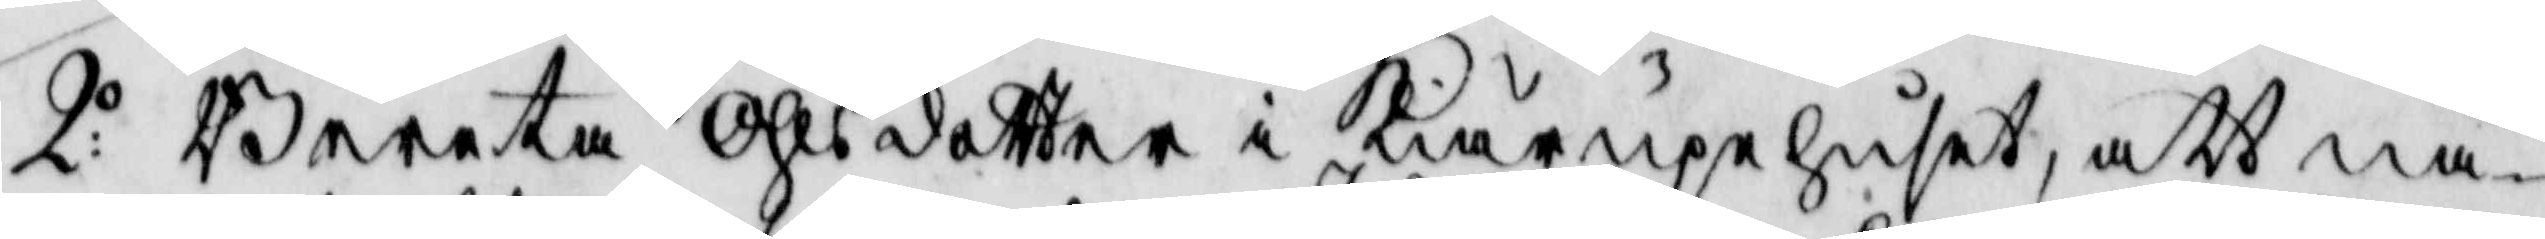2:o Beerta Ohlsdotter i kiäruprhuset, att nå¬
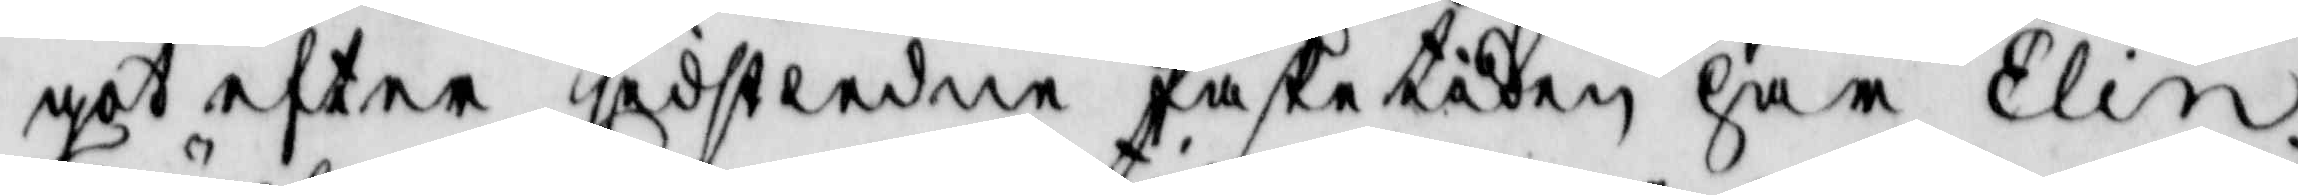got efter sidstledne Påsketiden har Elin
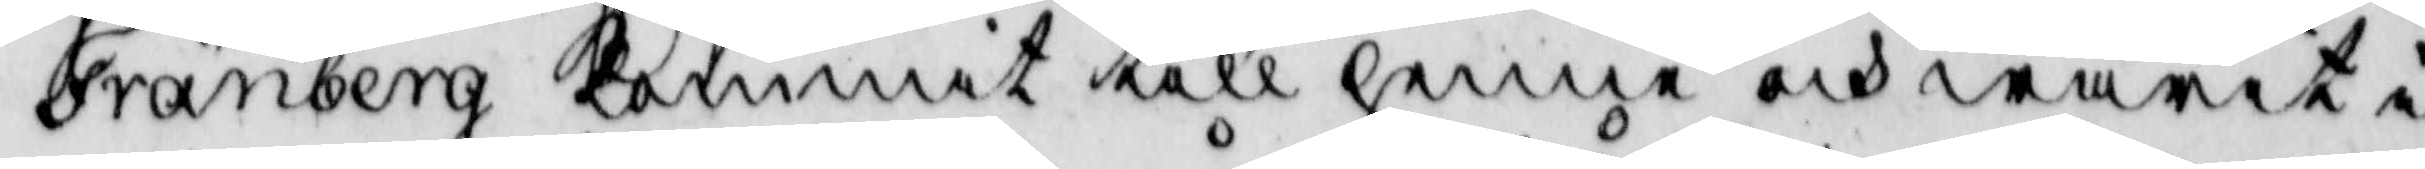Fränberg kommit till henne och warit i
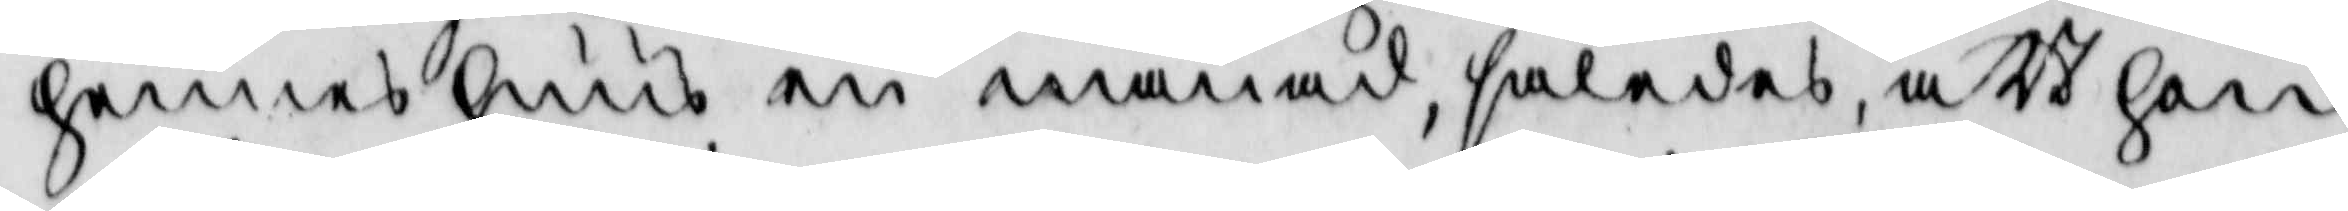hennes huus en månad, således, att hon
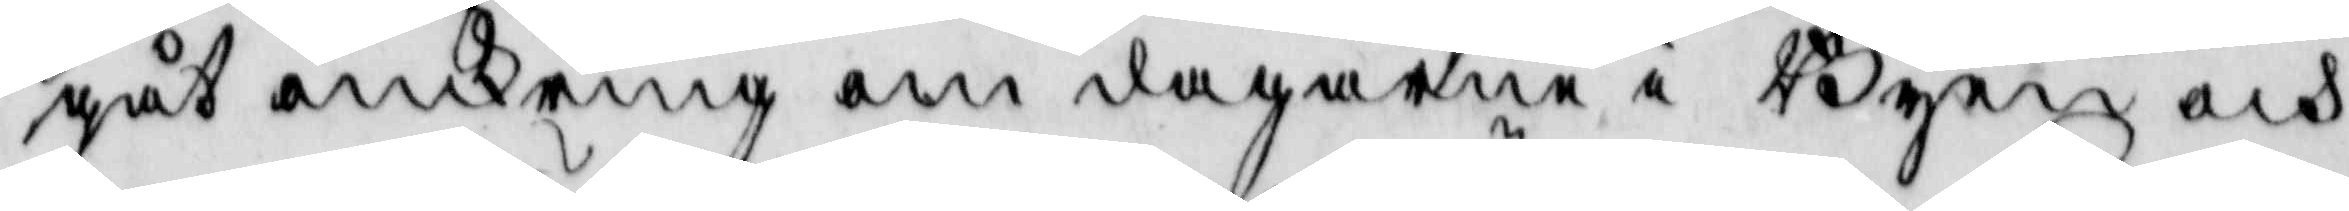gåt omkring om dagarna i Byen och
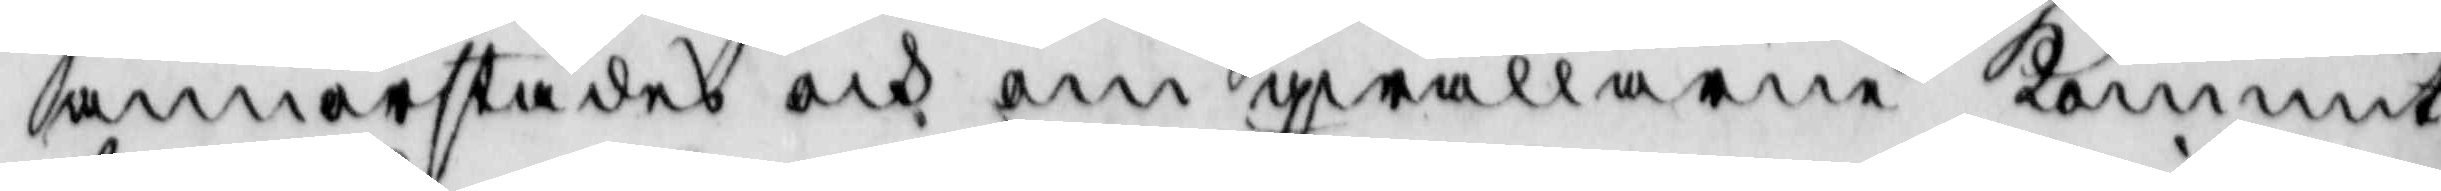annorstädes och om qwällarne kommit
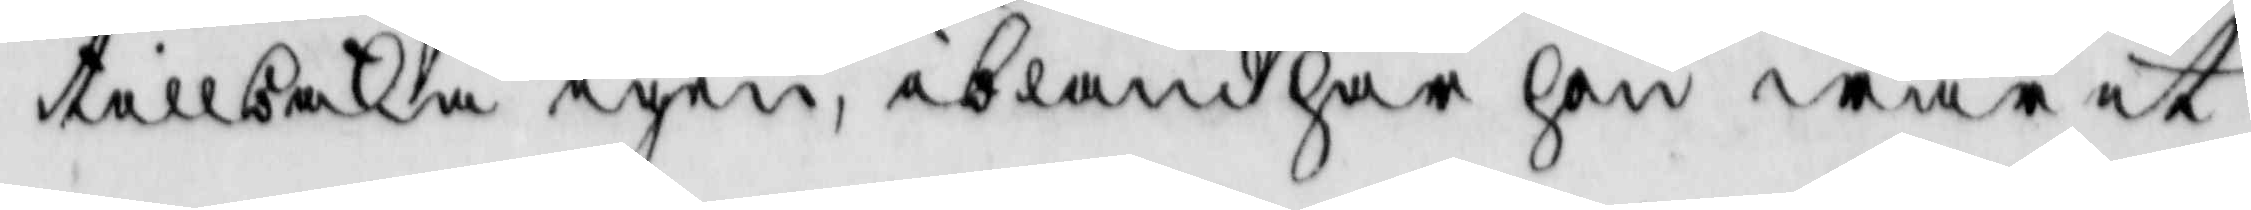tillbaka igen, ibland har hon warit 
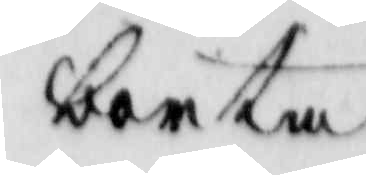borta
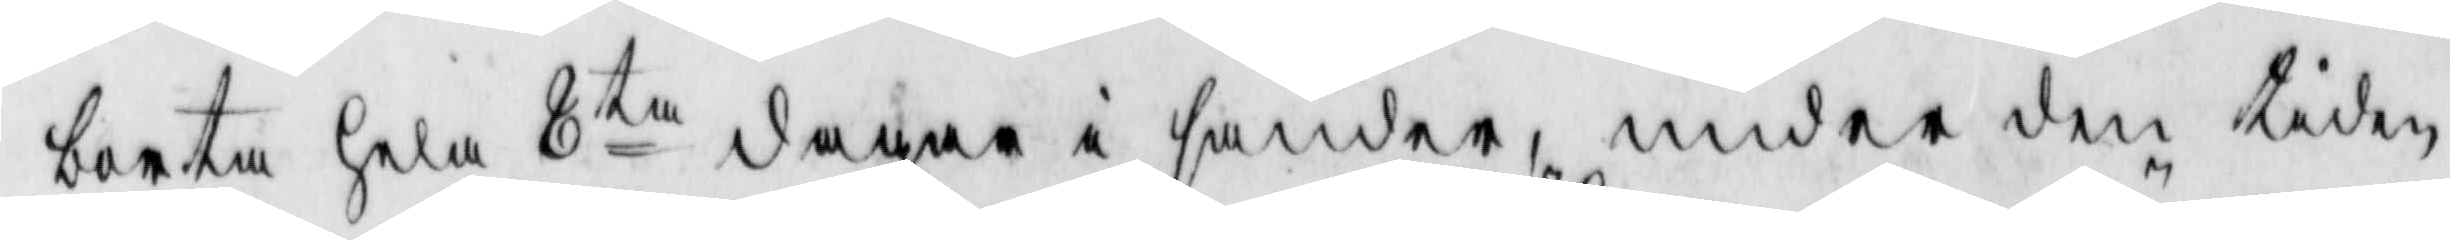borta hela 8ta dagar i sänder, under den tiden
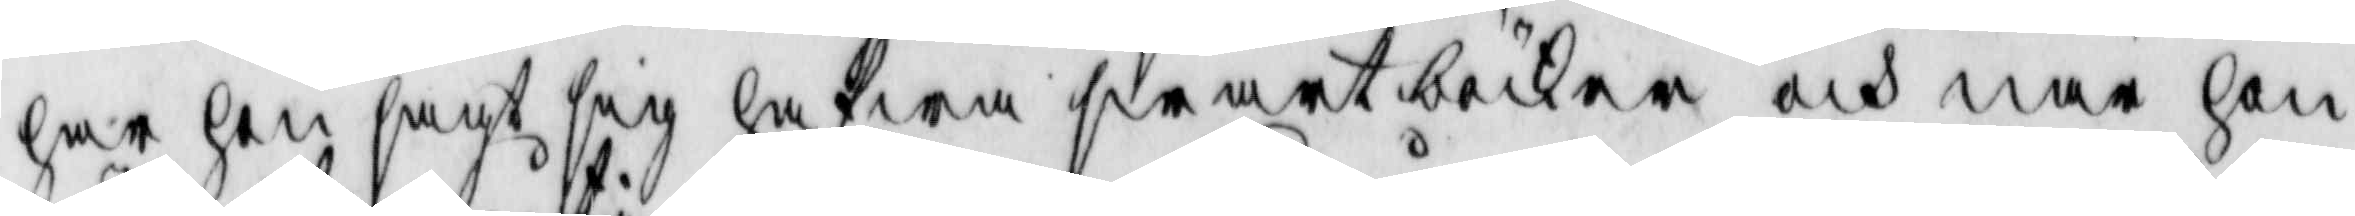har hon sagt sig hafwa swartböcker och när hon
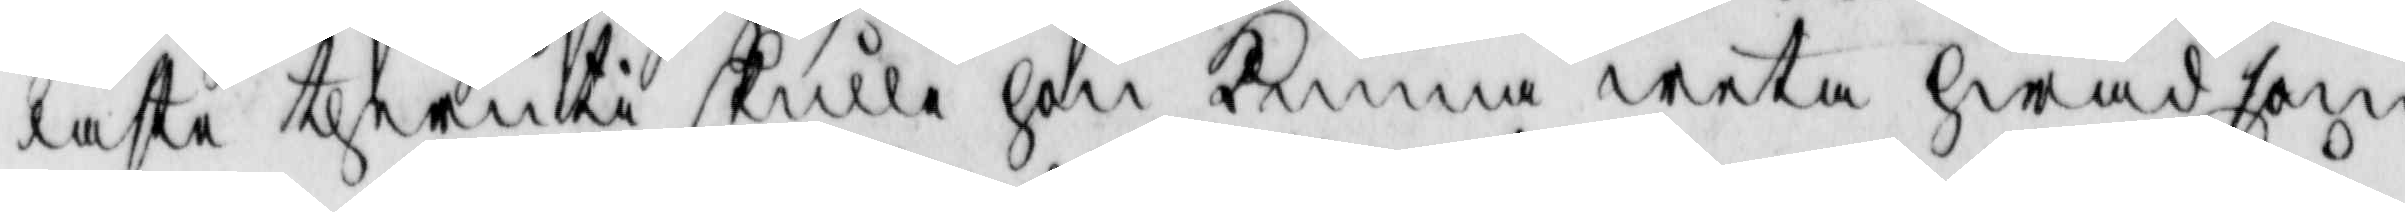läste theruti skulle hon kunna weta hwad som
